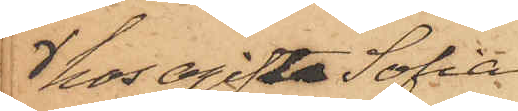hos ogifta Sofia
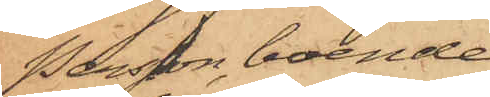Persson, boende
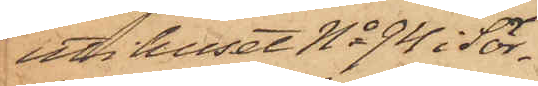uti huset No 94 i Sör¬
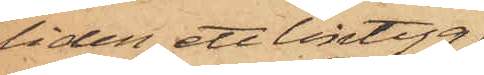liden, ett lintyg,
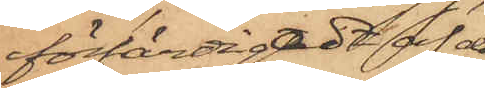förfärdigadt af den
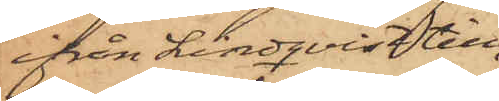ifrån Lindqvist till¬
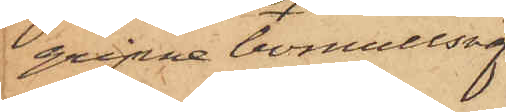gripne bomullsväf¬
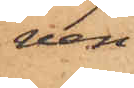ven
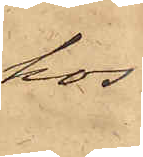hos
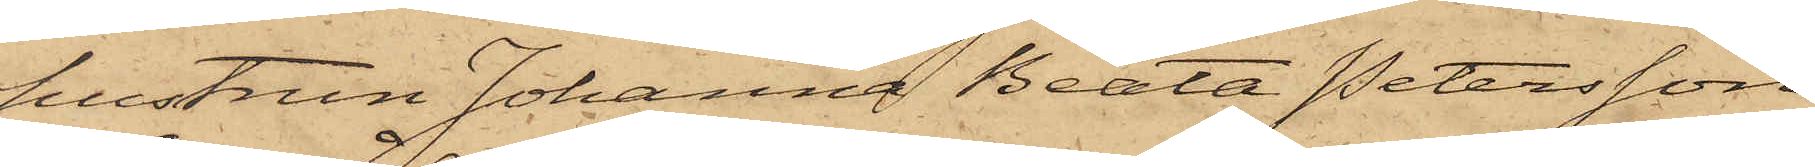hustrun Johanna Beata Petersson
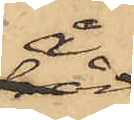å
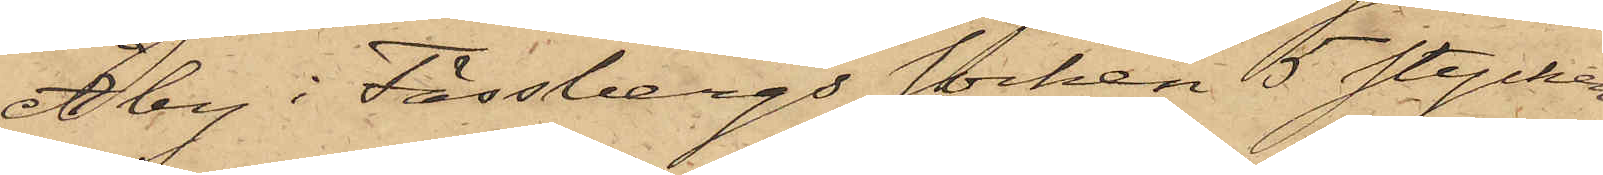Åby i Fässbergs socken 5 stycken
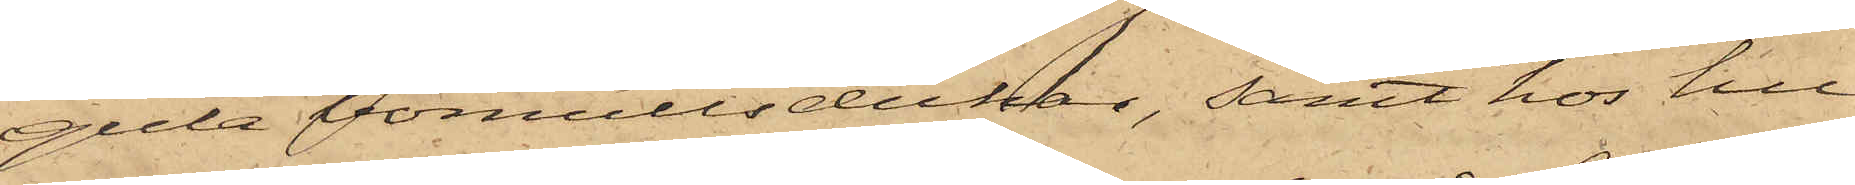gula bomullsdukar, samt hos hu¬
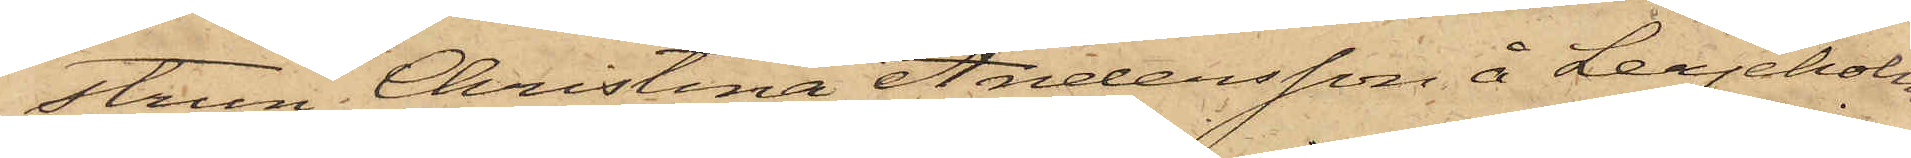strun Christina Andersson å Lerjeholm
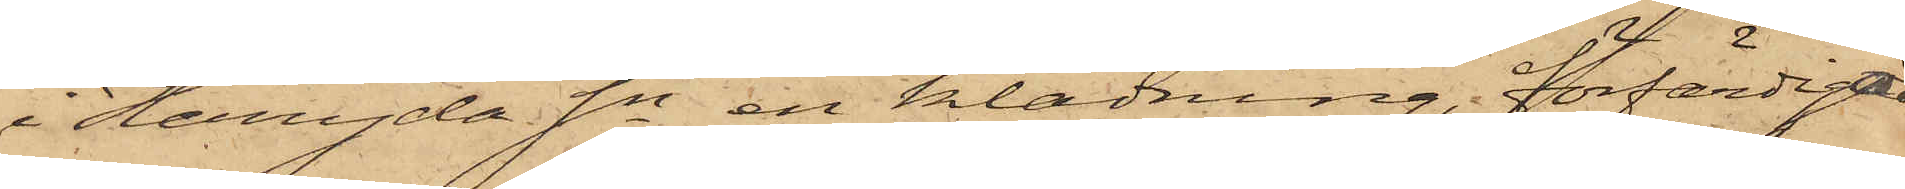i Herryda Sn en klädning, förfärdigad
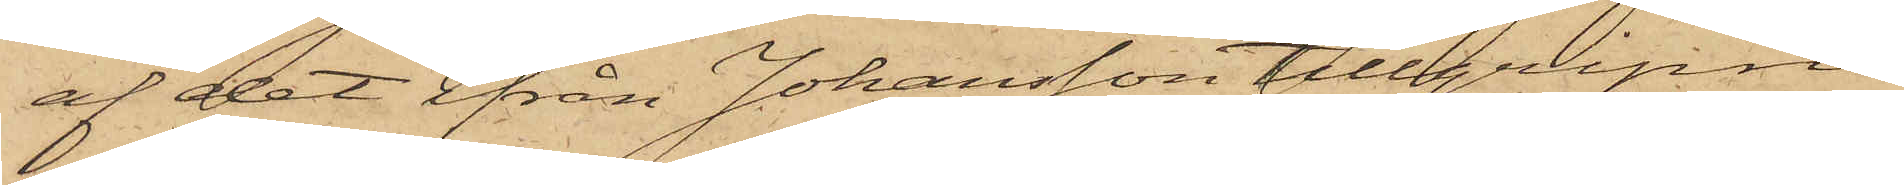af det ifrån Johansson tillgripne
